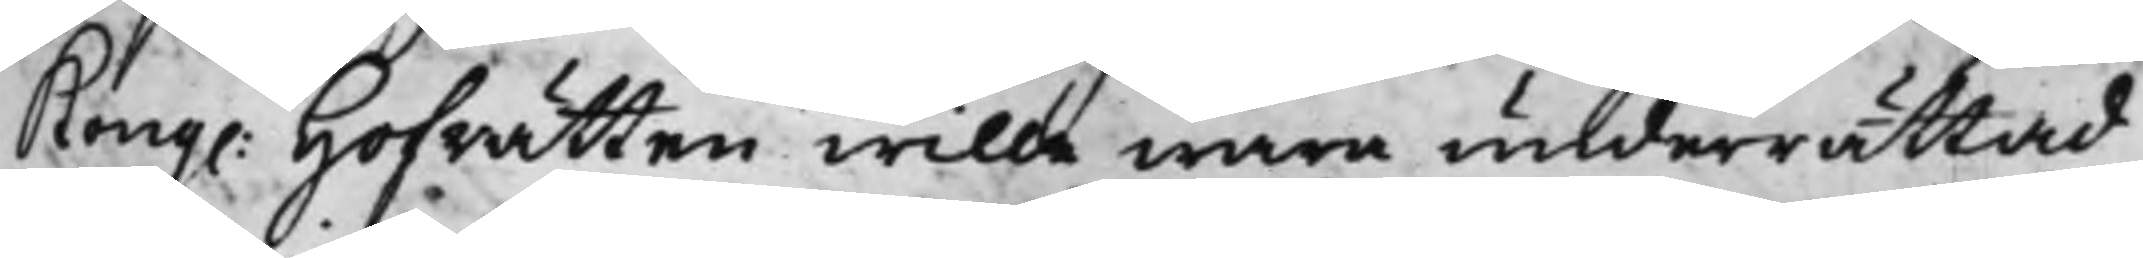Kong. Hofrätten wille wara underrättad
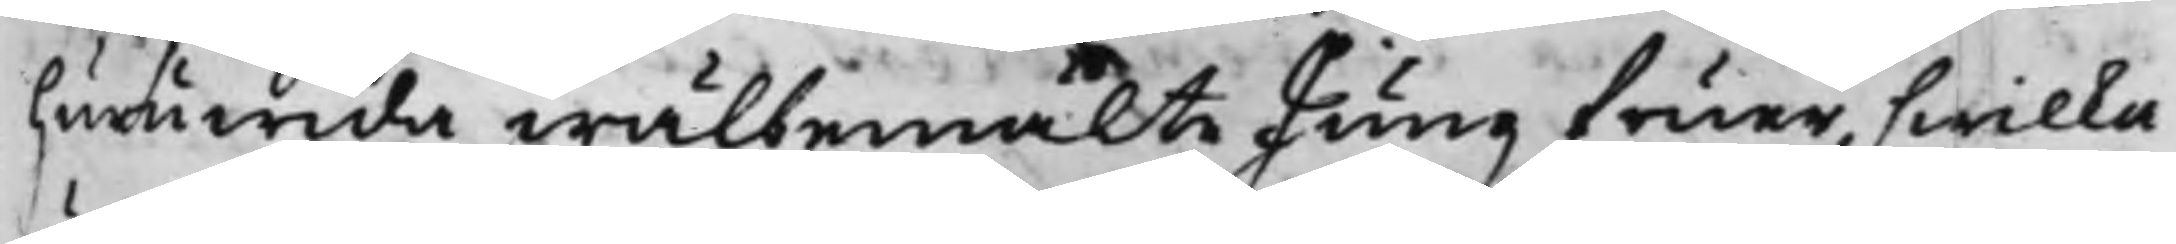huruwida wälbemälte Jungfruer, hwilka
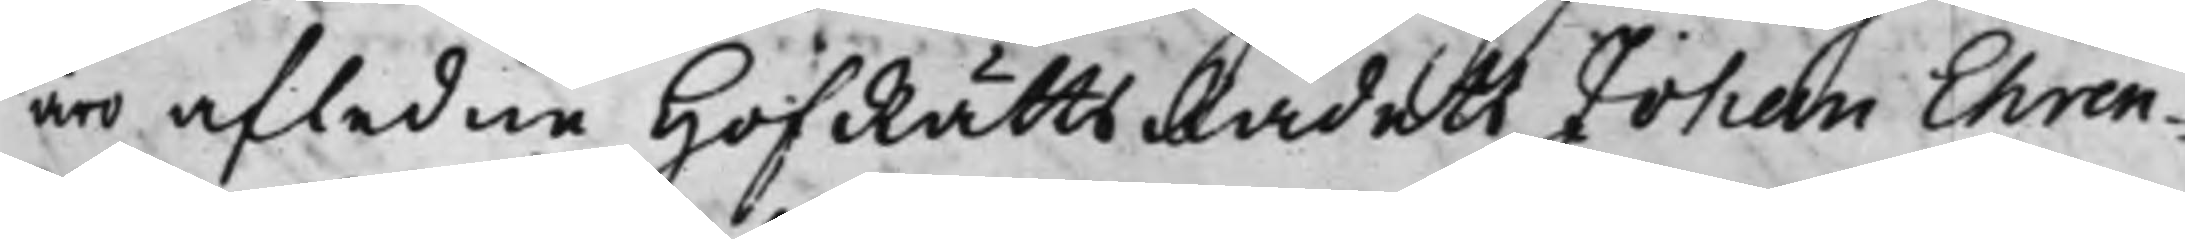äro afledne HofRättsRådets Johan Ehren¬
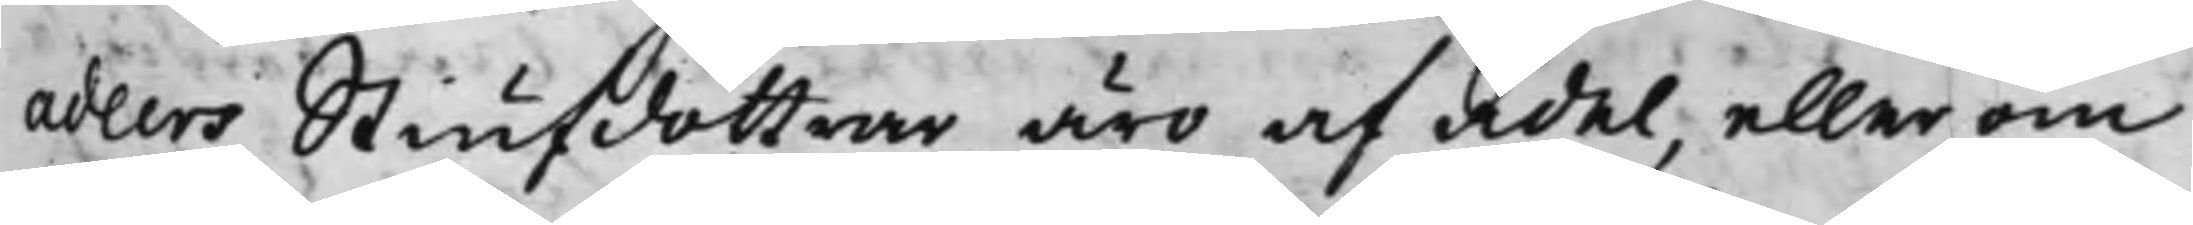Adlers Stiufdöttrar äro af adel, eller om
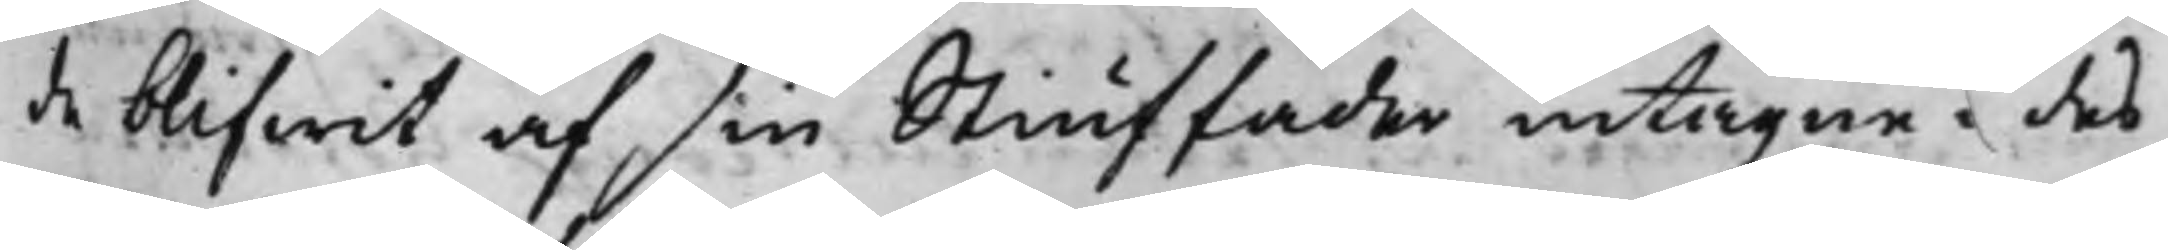de blifwit af sin Stiuffader intagne i des
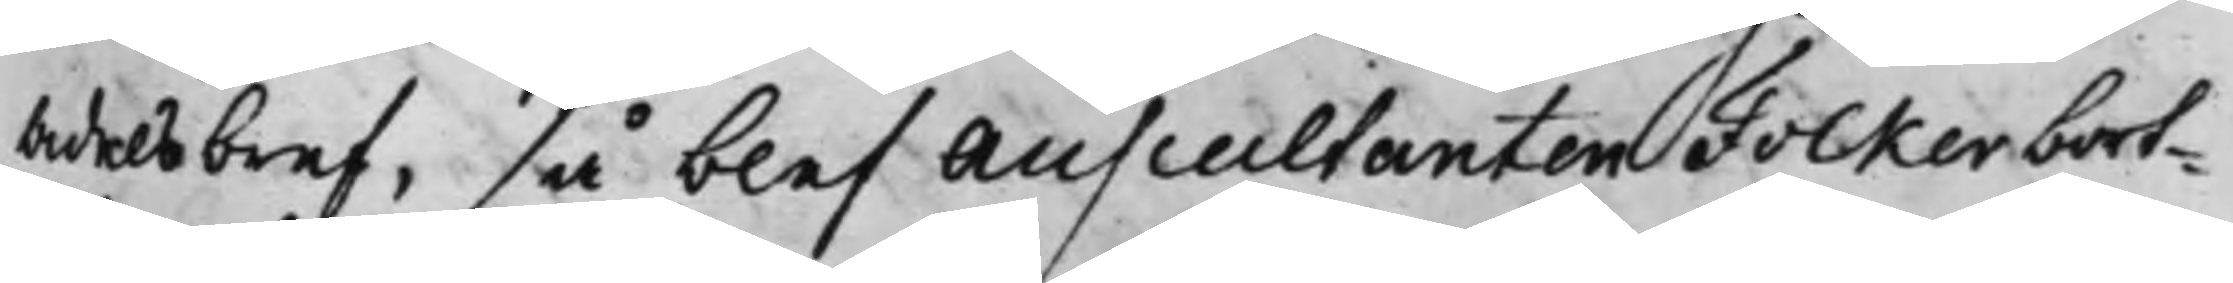adelsbref, så blef Auscultanten Folker bort¬
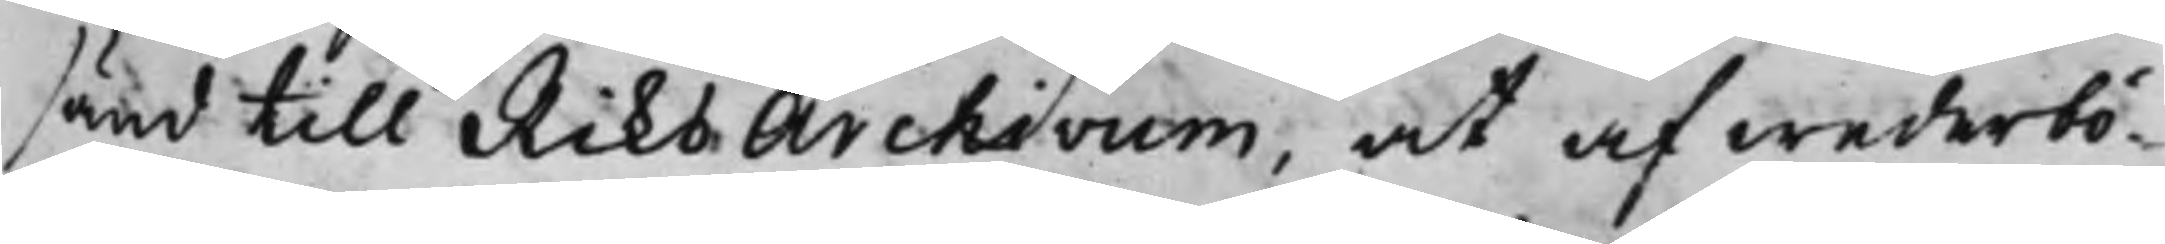sänd till RiksArchivum, at af wederbö¬
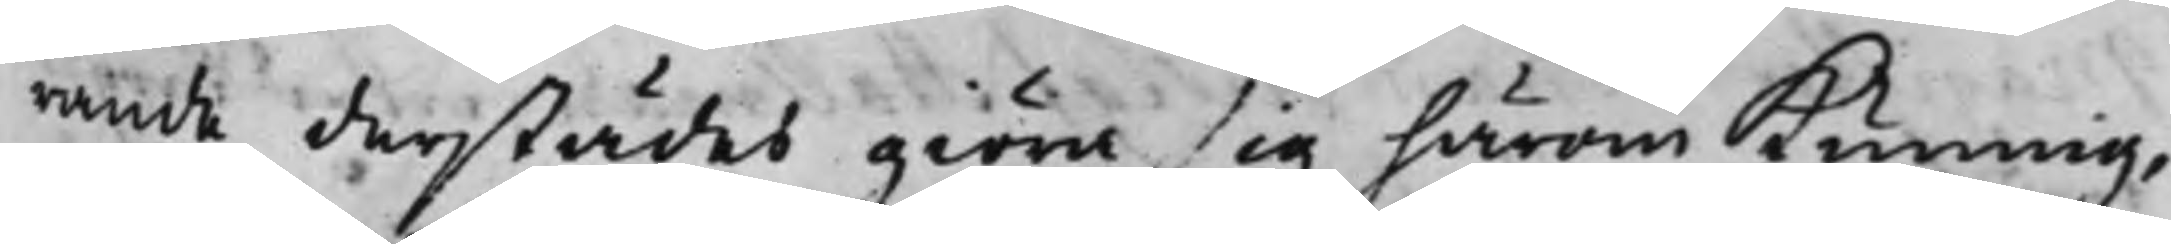rande derstädes giöra sig härom kunnig,
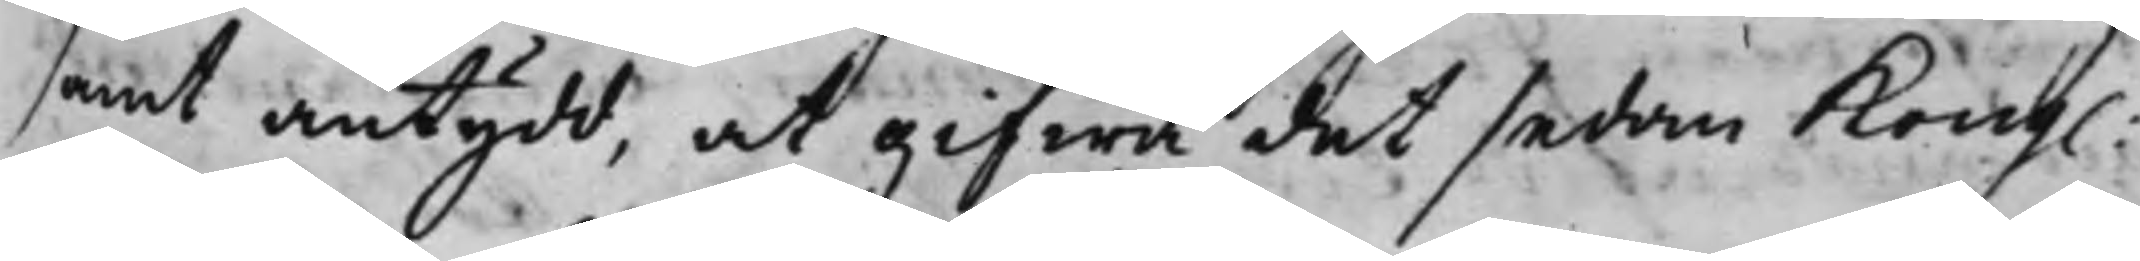samt antydd, at gifwa det sedan Kong.
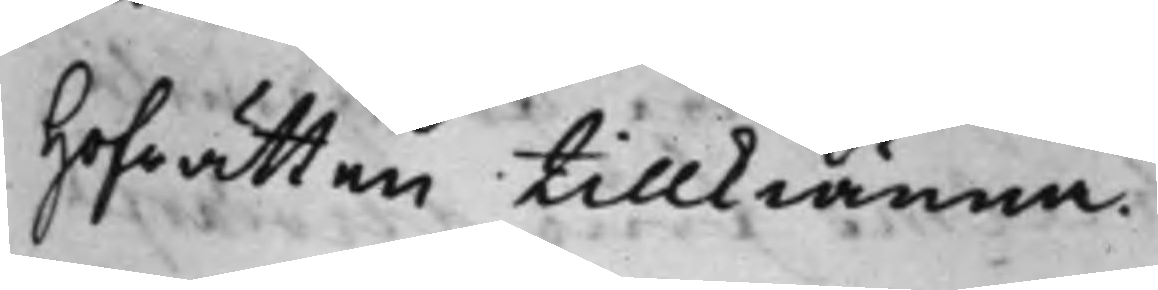Hofrätten tillkiänna.
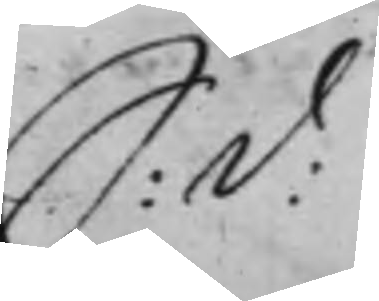S: D:
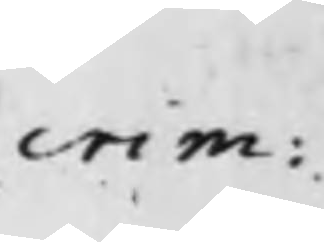crim:
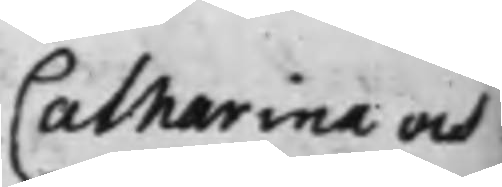Catharina och
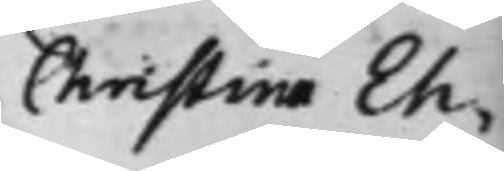Christina Eh¬
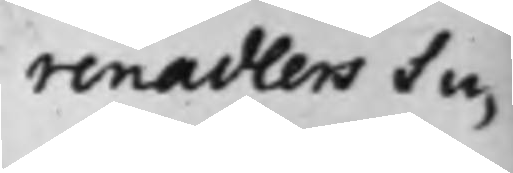renadlers Su¬
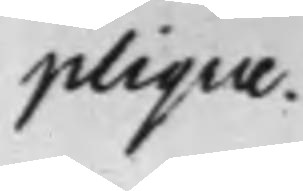plique.
